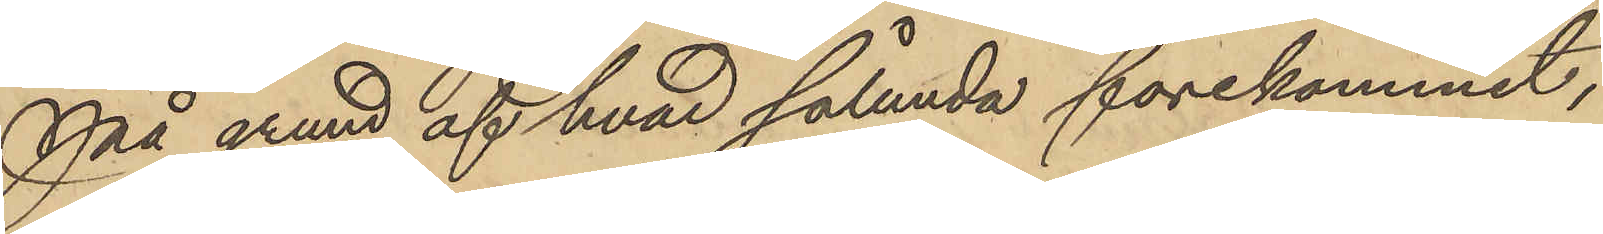På grund af hvad sålunda förekommit,
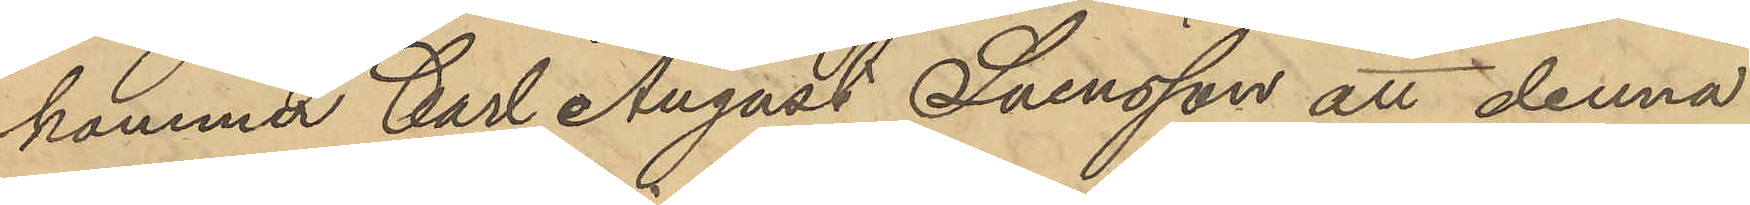kommer Carl August Svensson att denna
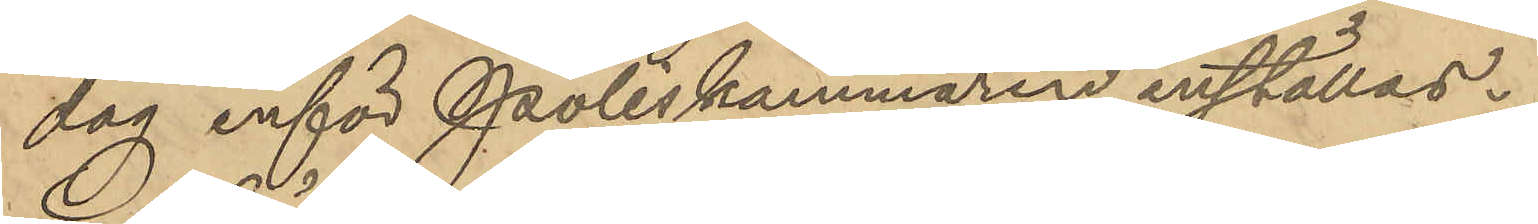dag inför Poliskammaren inställas.
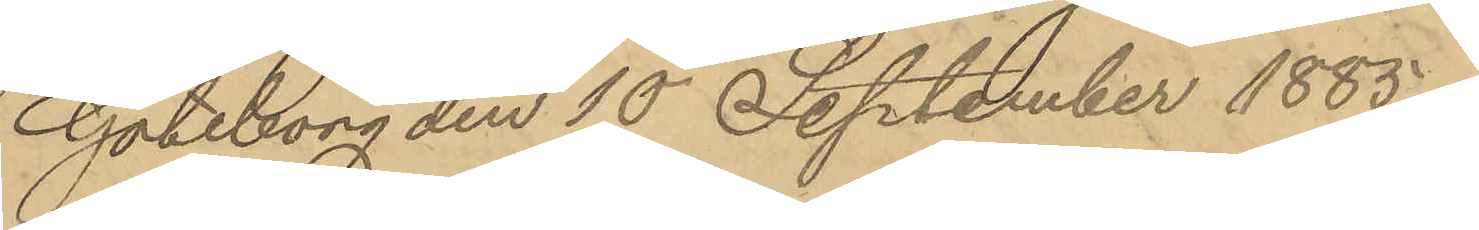Göteborg den 10 September 1885.
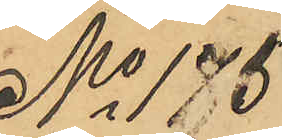No 175
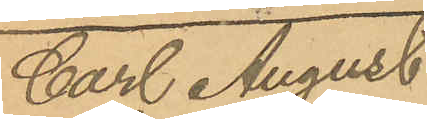Carl August
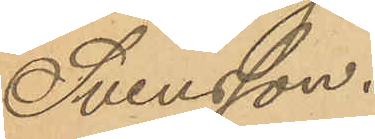Svensson.
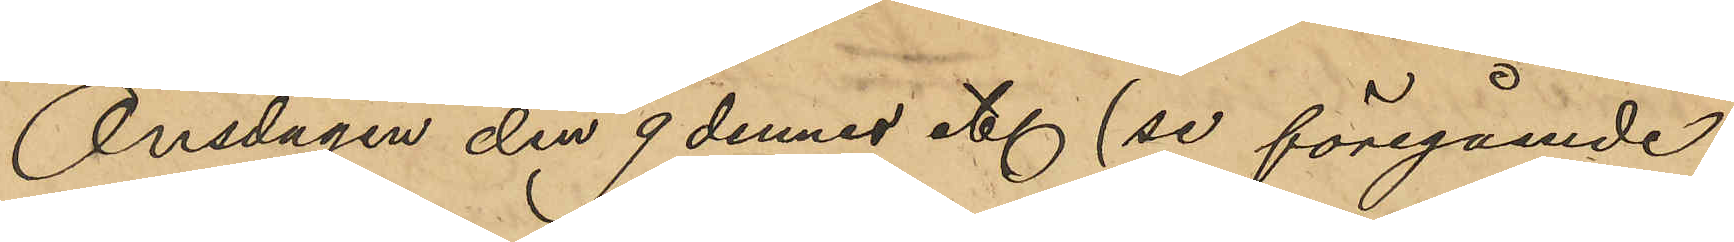Onsdagen den 9 dennes etc (se föregående
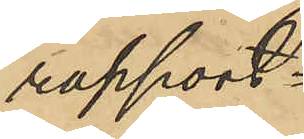rapport.
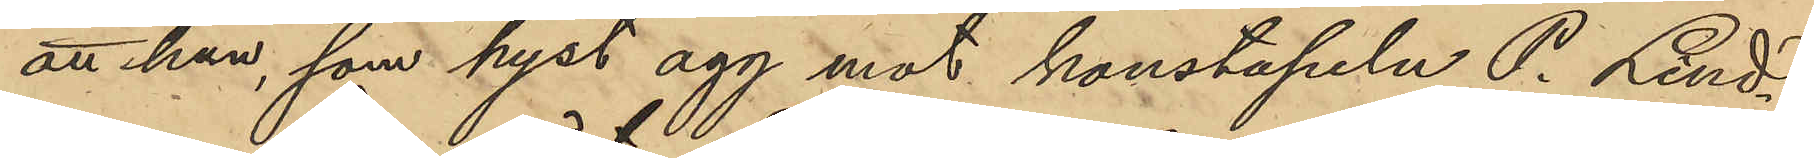att han, som hyst agg mot konstapeln P. Lind¬
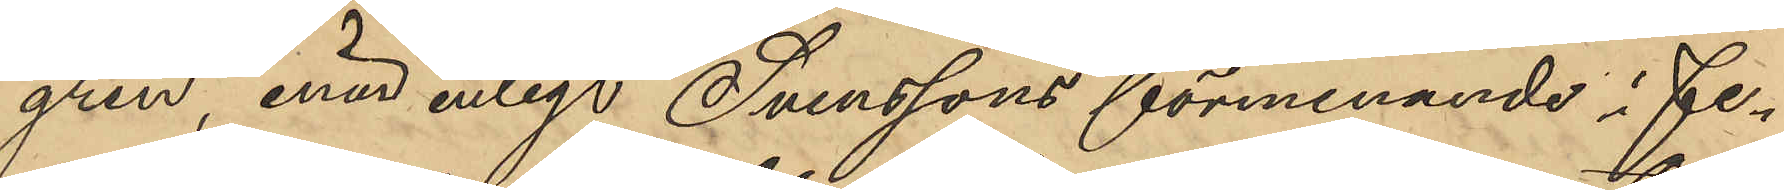gren, enär enligt Svenssons förmenande i Fe¬
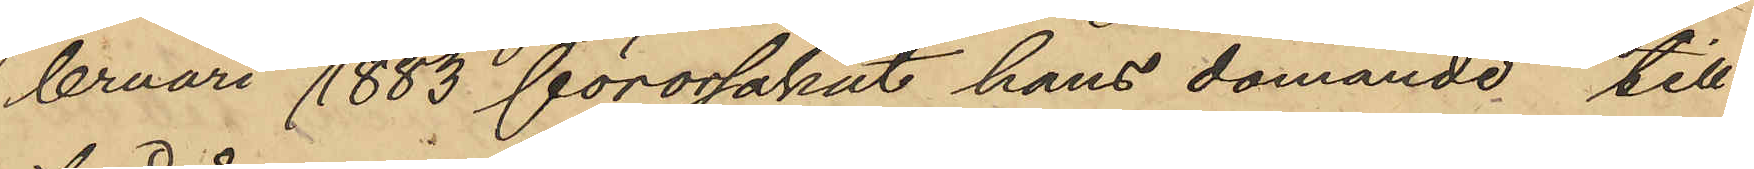bruari 1883 förorsakat hans dömande till
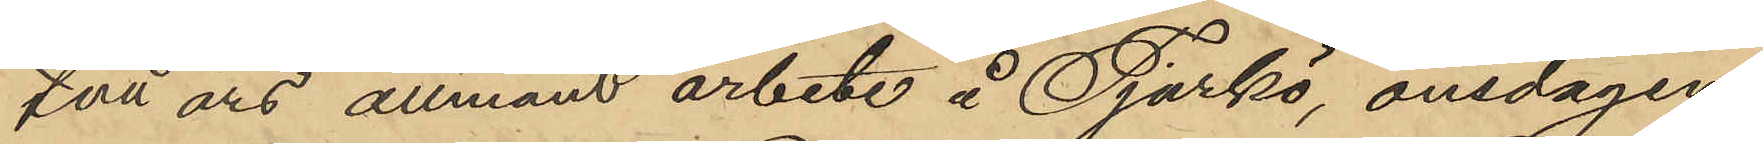två års allmänt arbete å Tjurkö, onsdagen
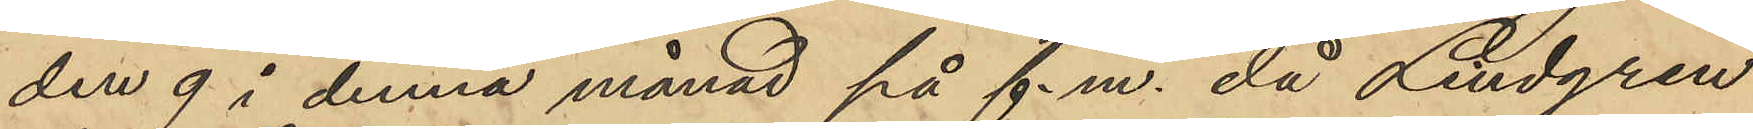den 9 i denna månad på f.m. då Lindgren
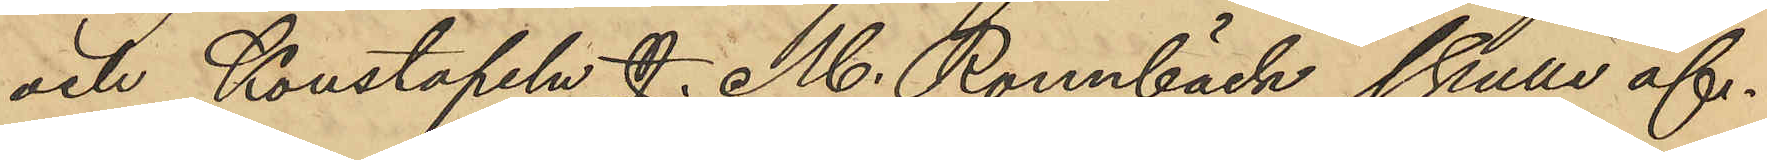och Konstapeln J. M. Rönnbäck skulle af¬
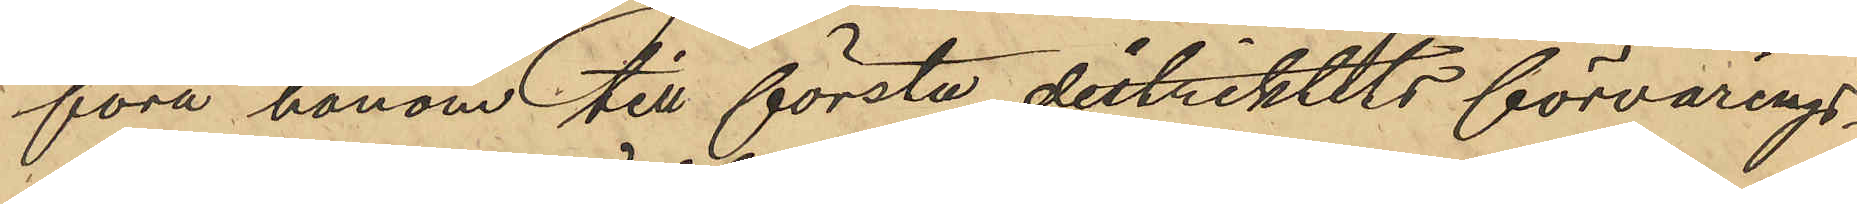föra honom till första distriktits förvarings¬
